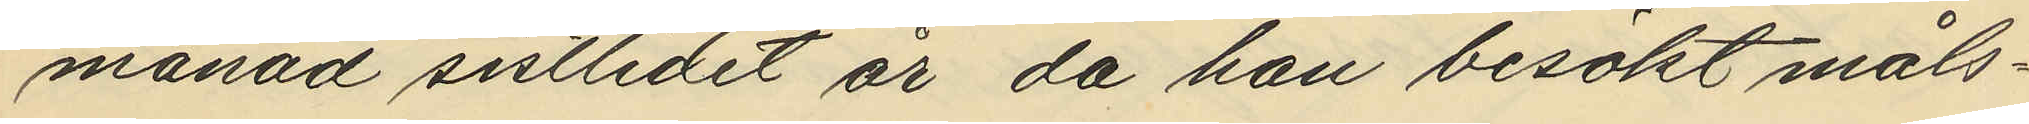månad sistlidet år, då han besökt måls¬
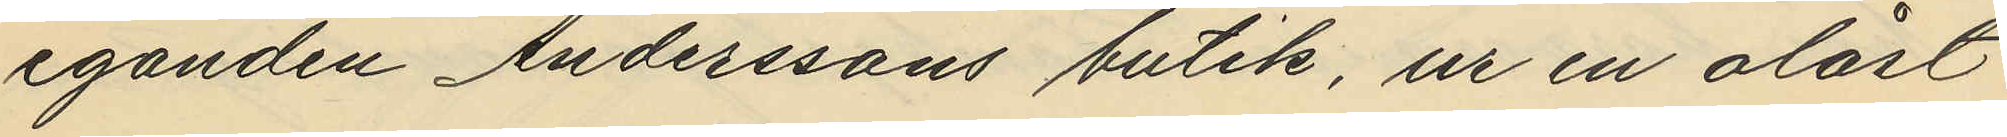eganden Anderssons butik, ur en olåst
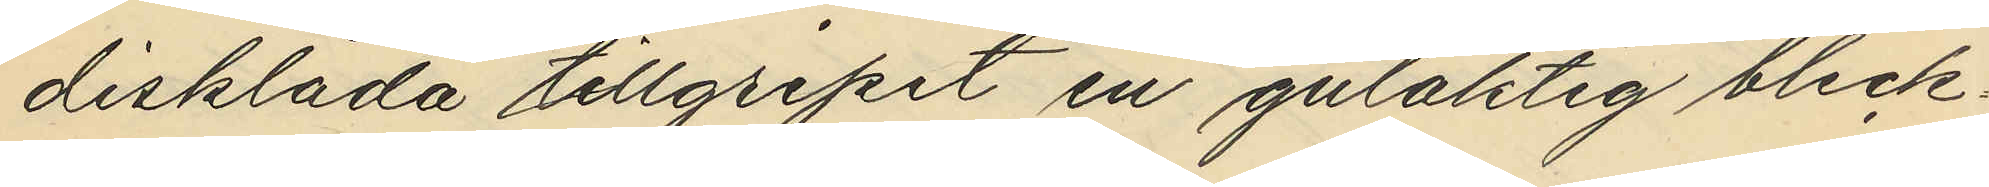disklåda tillgripit en gulaktig bleck¬
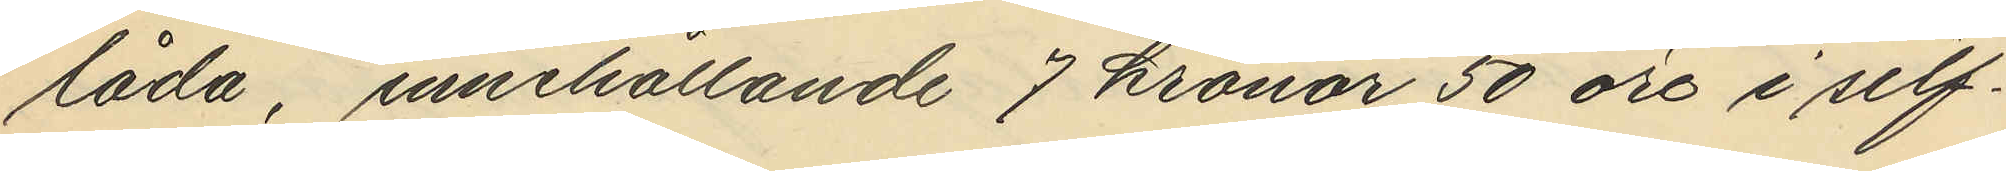låda, innehållande 7 kronor 50 öre i silf¬
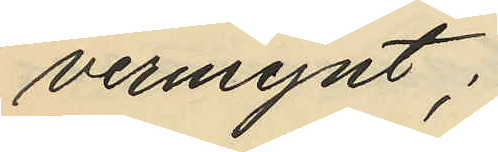vermynt;
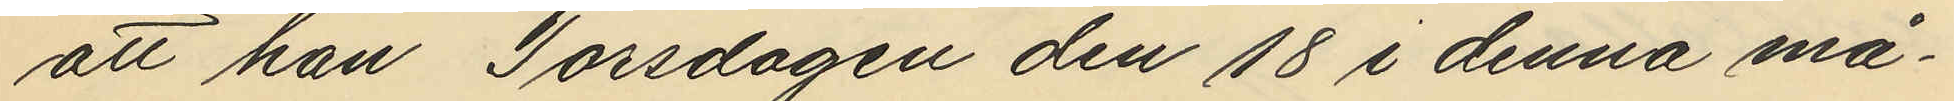att han Torsdagen den 18 i denna må¬
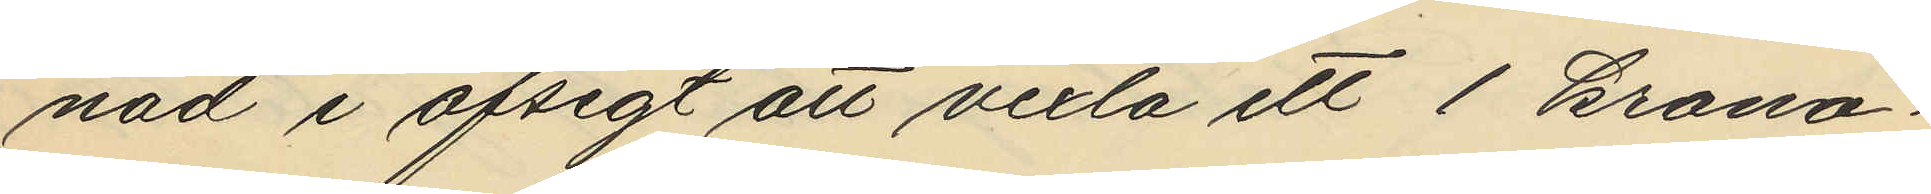nad i afsigt att vexla ett 1 krono¬
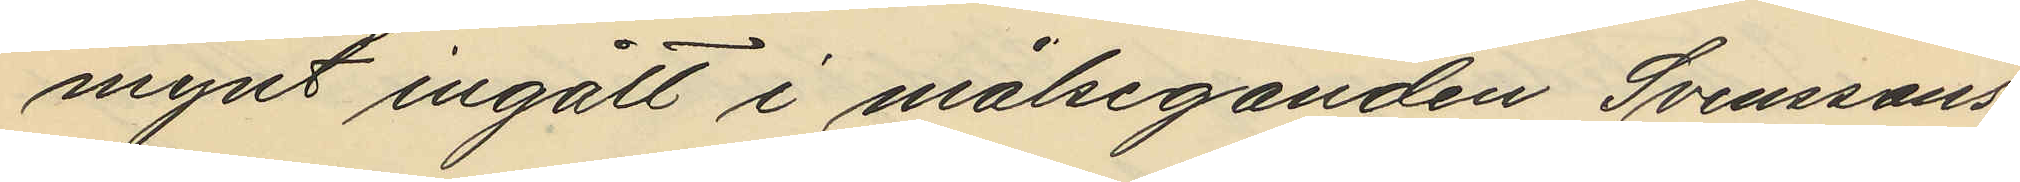mynt ingått i målseganden Svenssons
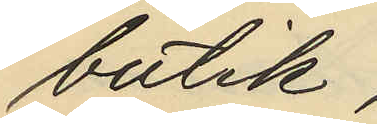butik,
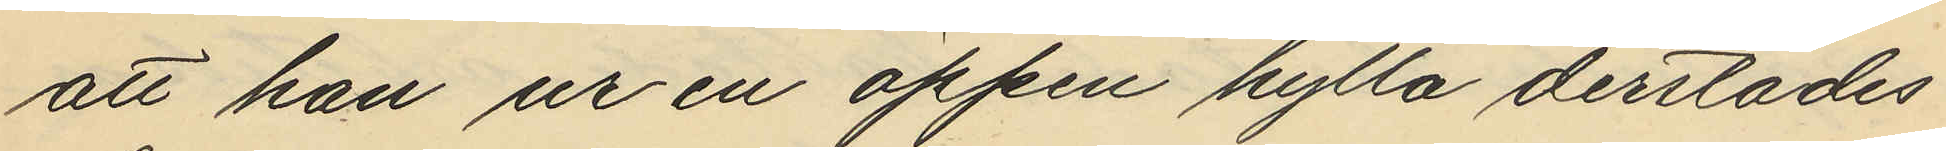att han ur en öppen hylla derstädes
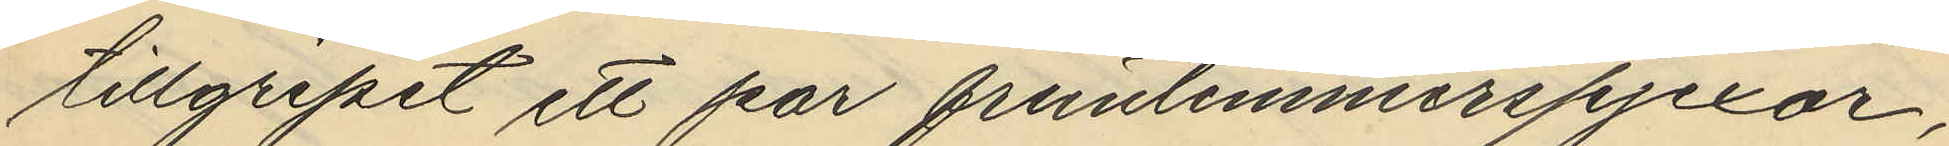tillgripit ett par fruntimmerspjexor,
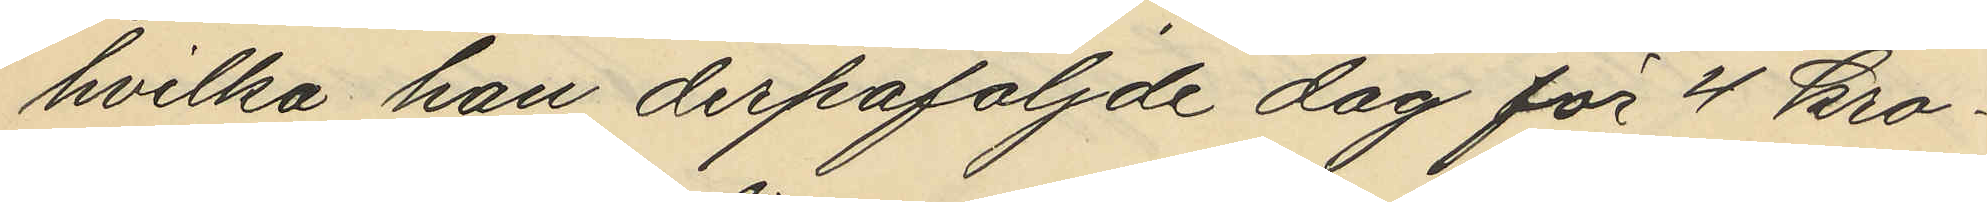hvilka han derpåföljande dag för 4 kro¬
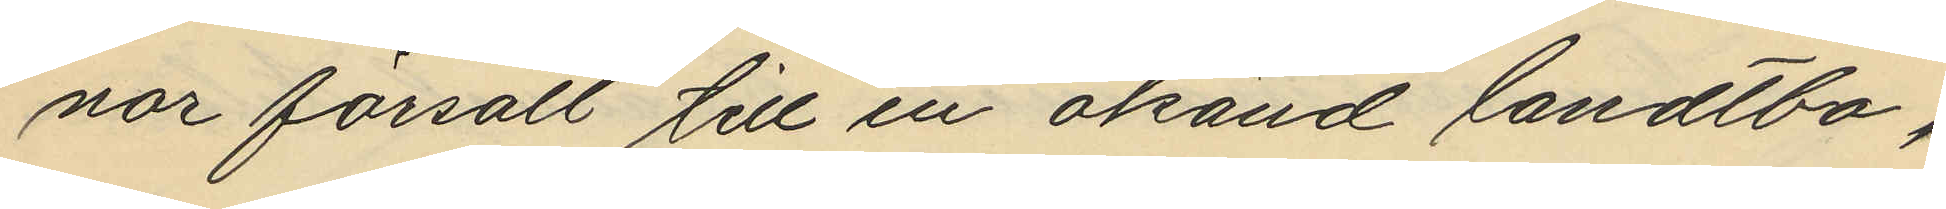nor försålt till en okänd landtbo,
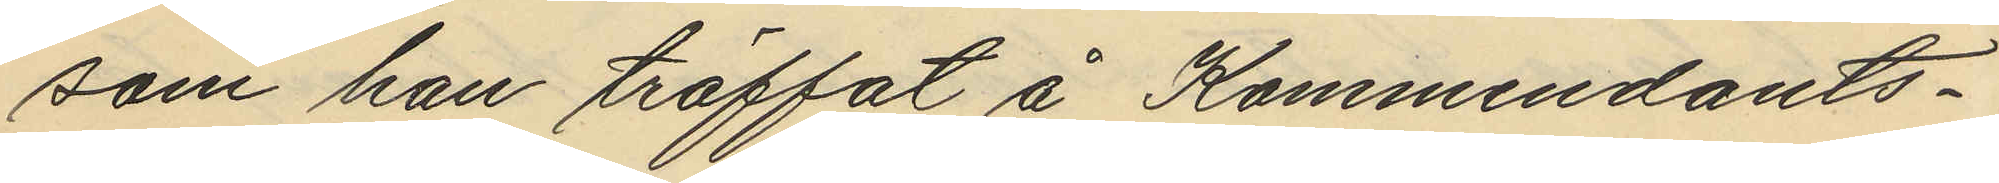som han träffat å Kommendants¬
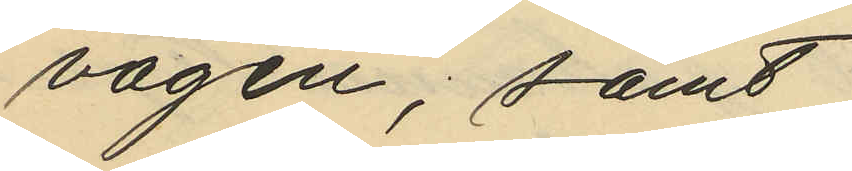vägen, samt
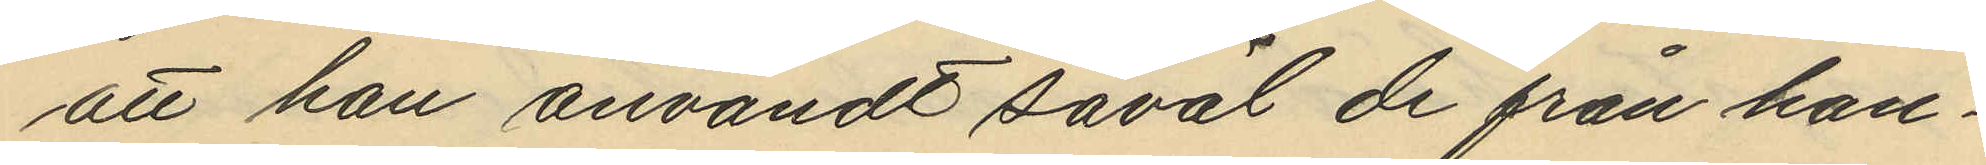att han användt såväl de från han¬
